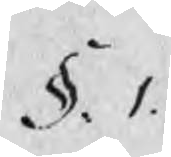§. 1.
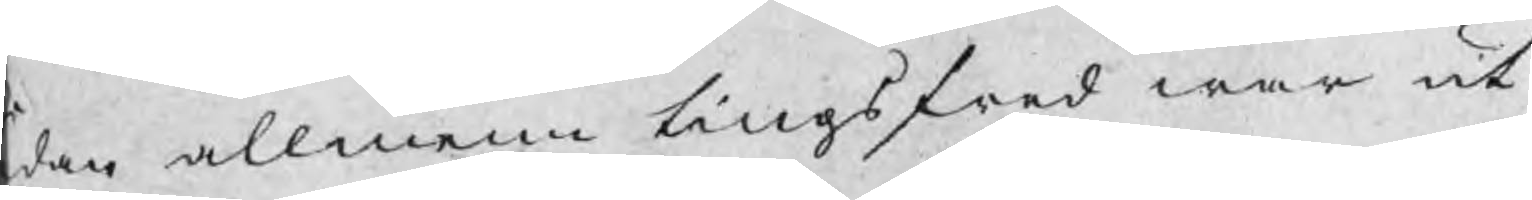dan allmenn tingsfred war ut¬
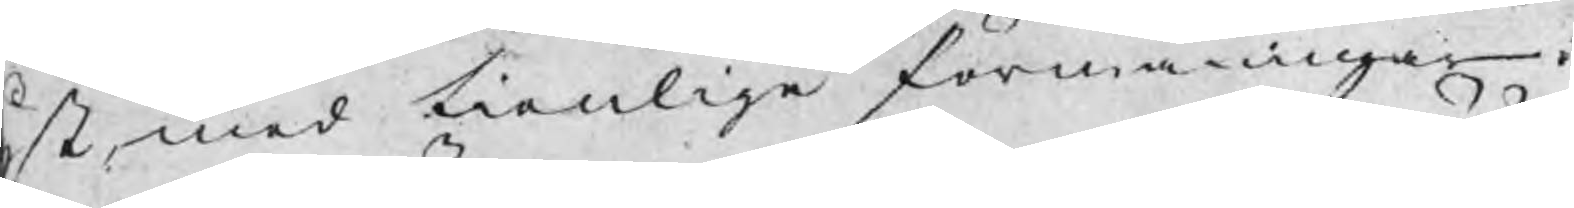yst med tienlige förmaningar
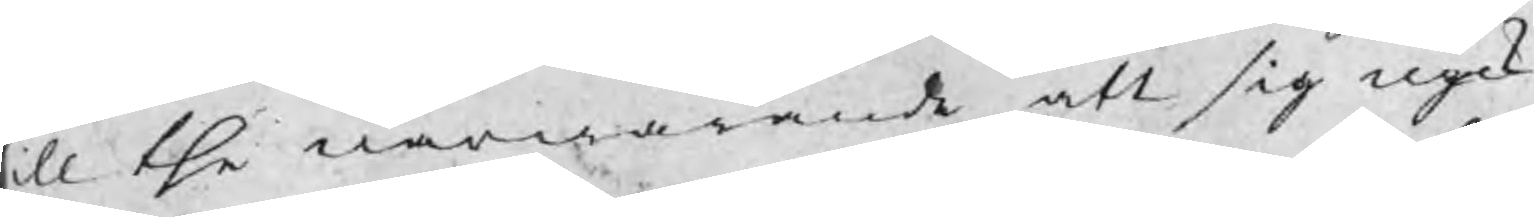ill the närwarande att sig nyck¬
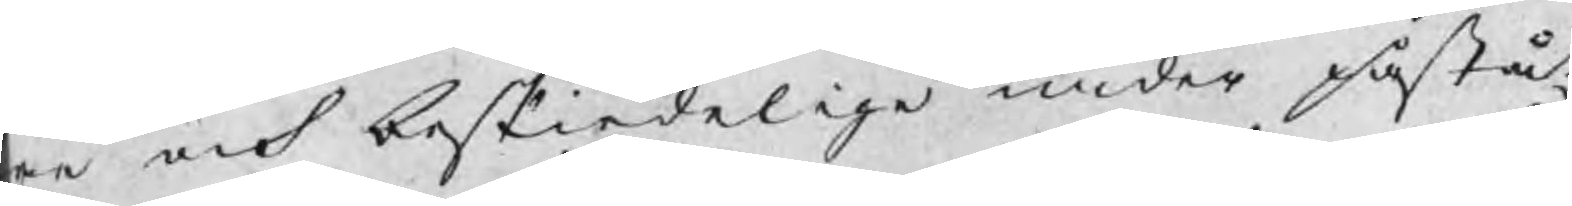er och beskiedelige under påstå¬
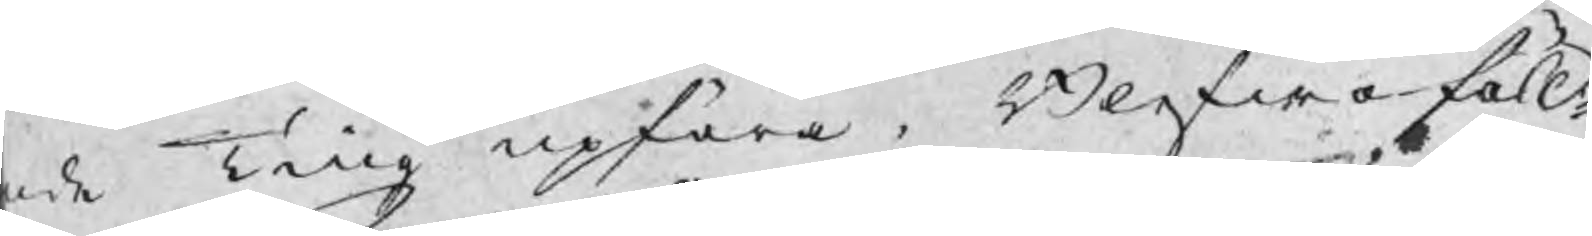nde Ting upföra , Blefwo föll¬
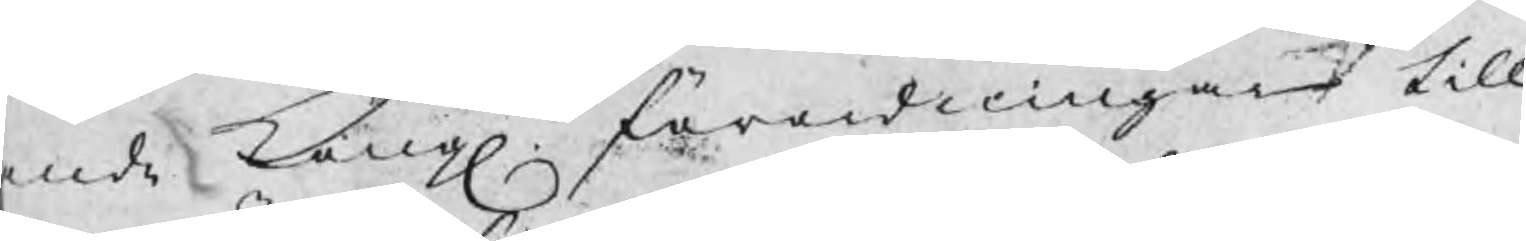ande Kongl förordningar till
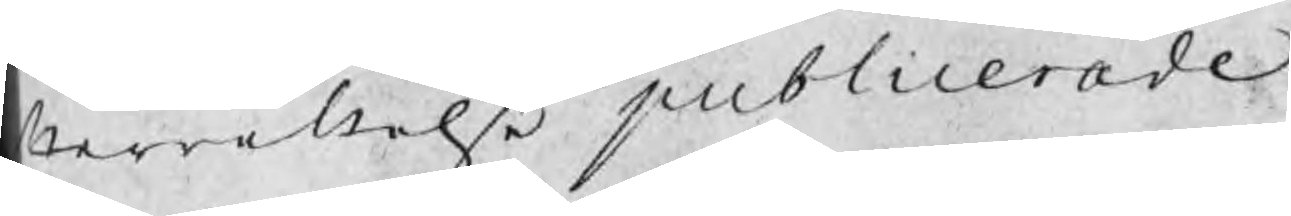fterrättelse publicerade.
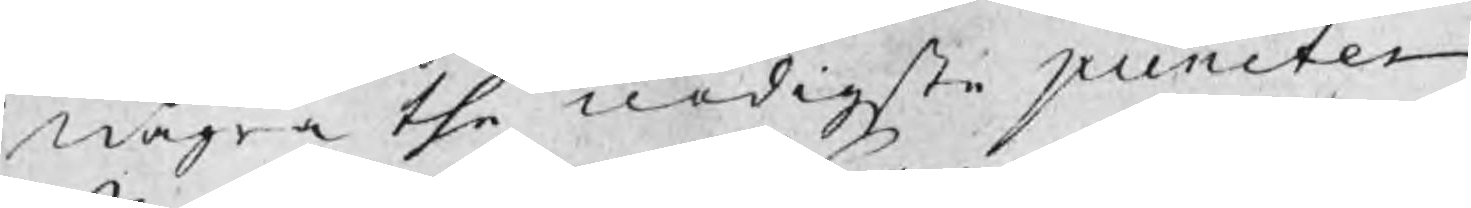några the nödigste puncter
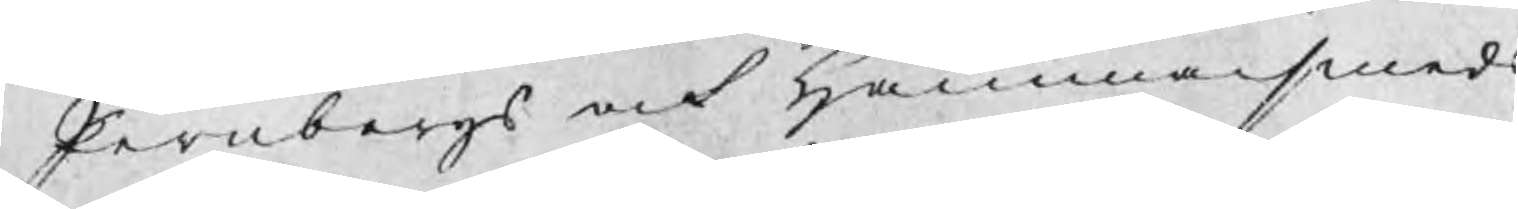Jernbergs och Hammarsmeds
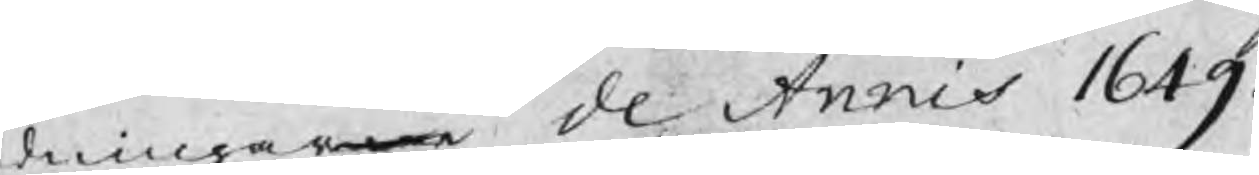dningarne de Annis 1649.
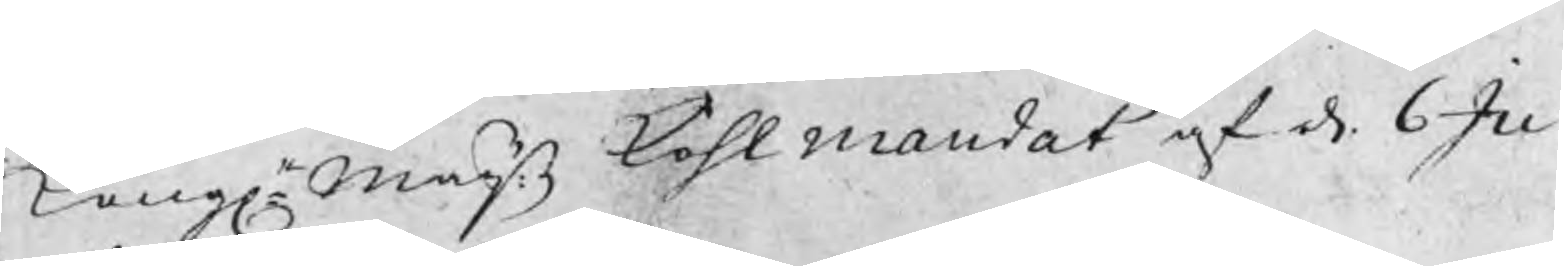Kongl Maijs kohlmandat af d. 6 Ju¬
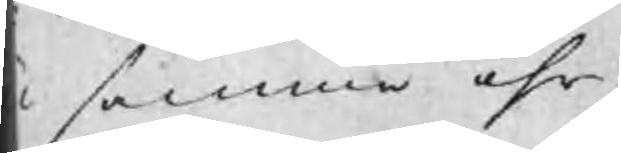i samma åhr.
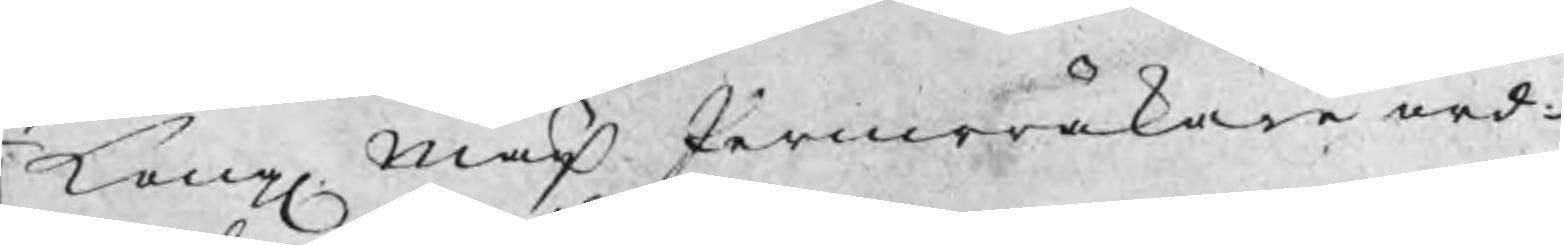Kong Maijs Jernerräkare ned¬
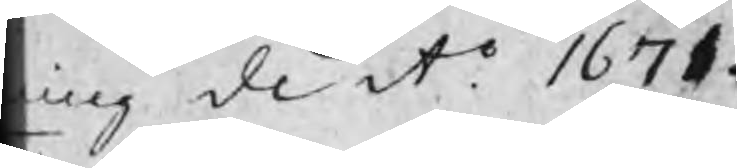ling de Ao 1671.
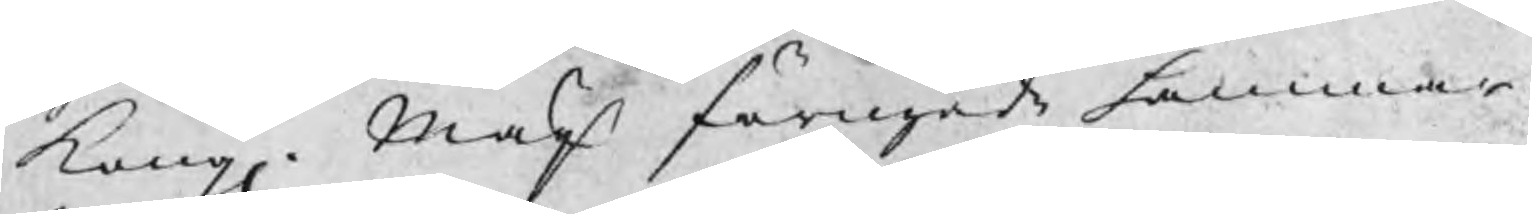Kong Maijs förnyade hammar¬
